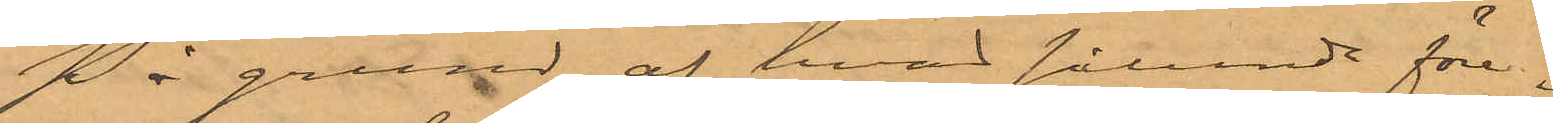På grund af hvad sålunda före¬
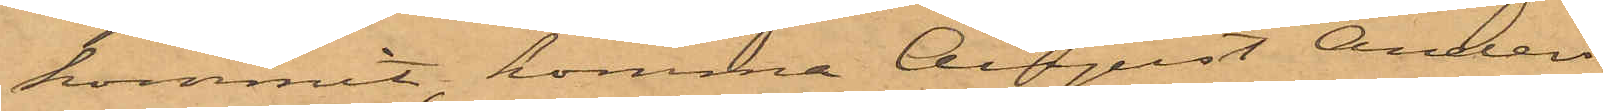kommit, komma August Anders¬
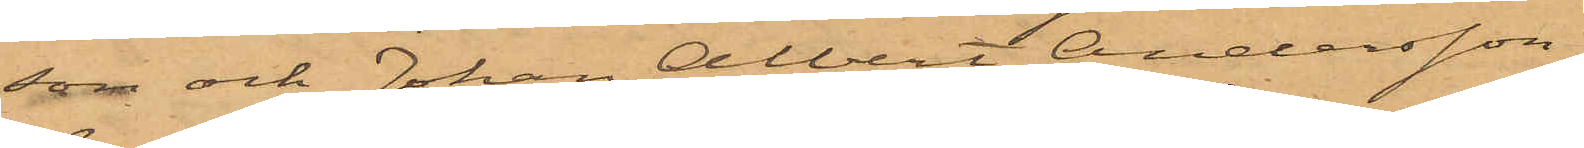son och Johan Albert Andersson,
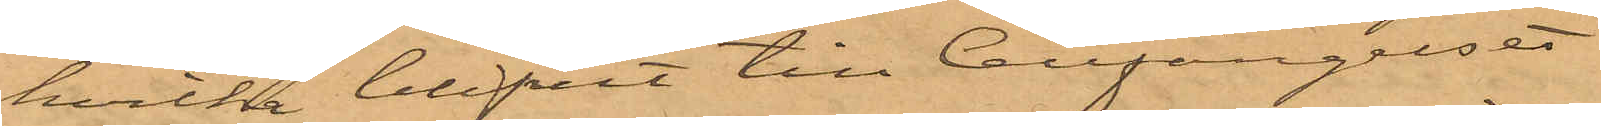hvilka blifvit till Cellfängelset
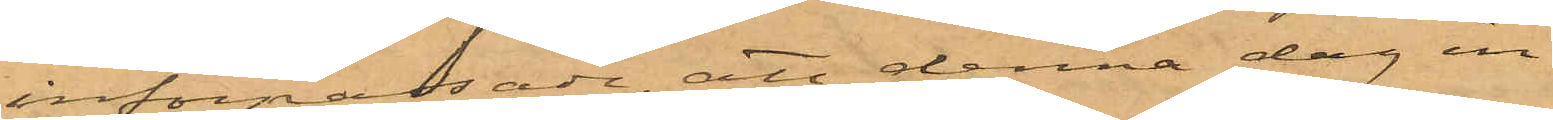införpassade, att denna dag in¬
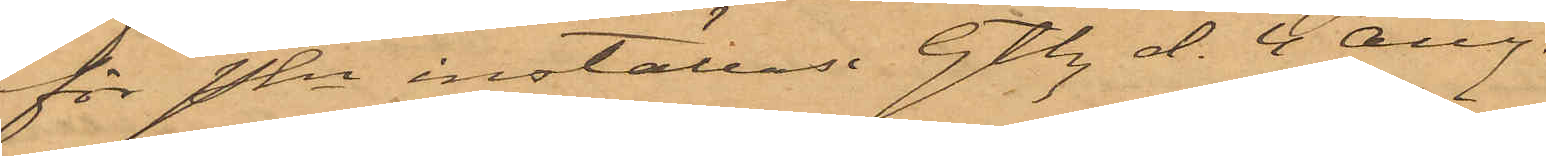för Pkn inställas. Gtbg d. 4 aug.
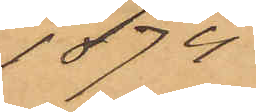1874
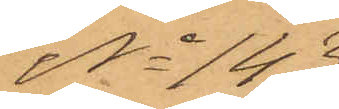No 143
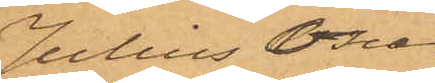Julius Oscar
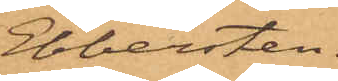Ebbersten
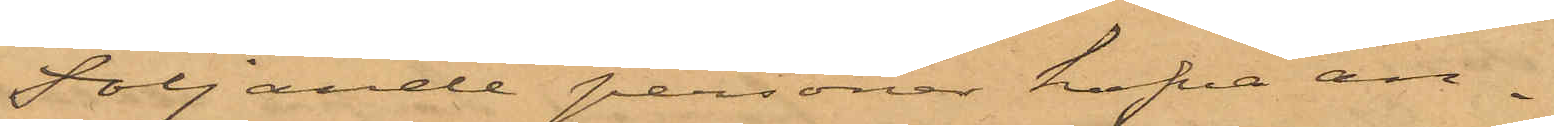Följande personer hafva an¬
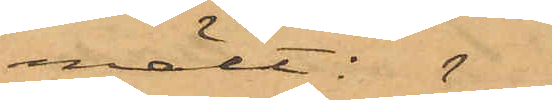mält: 
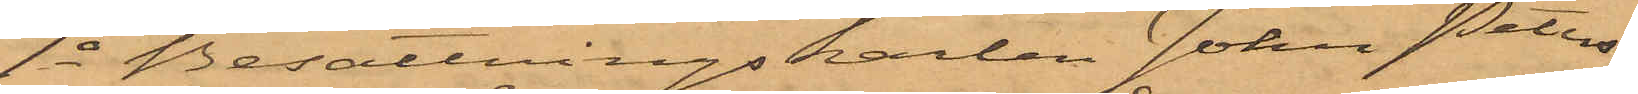1o Besättningskarlen Johan Peters¬
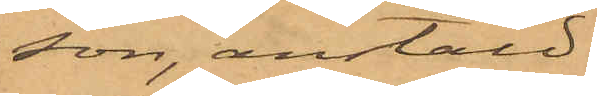son, anstäld
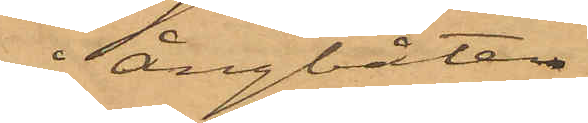å ångbåten
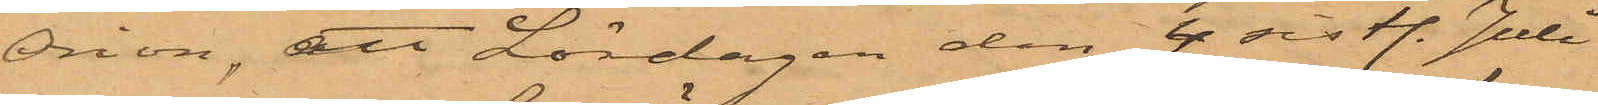Orion, att Lördagen den 4 sist. Juli
